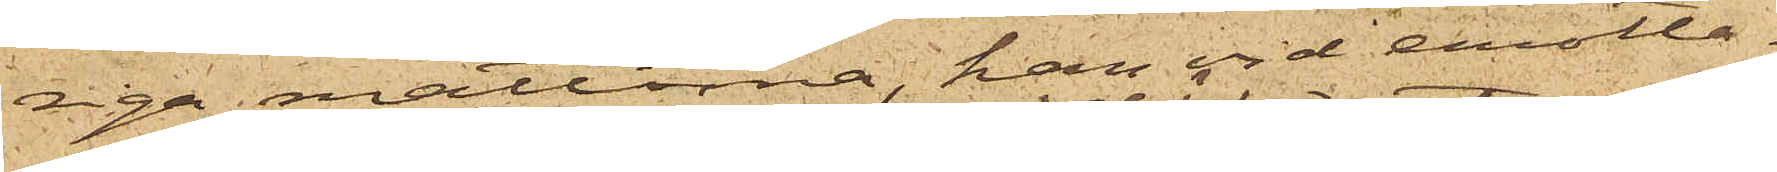riga mattorna, han vid emotta¬
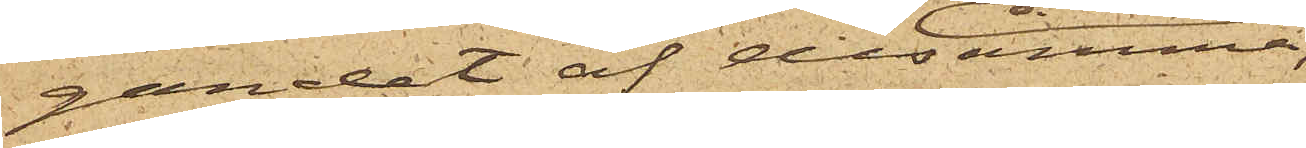gandet af desamma,
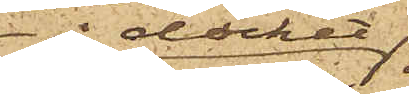å däcket
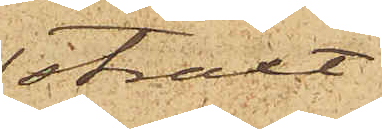straxt
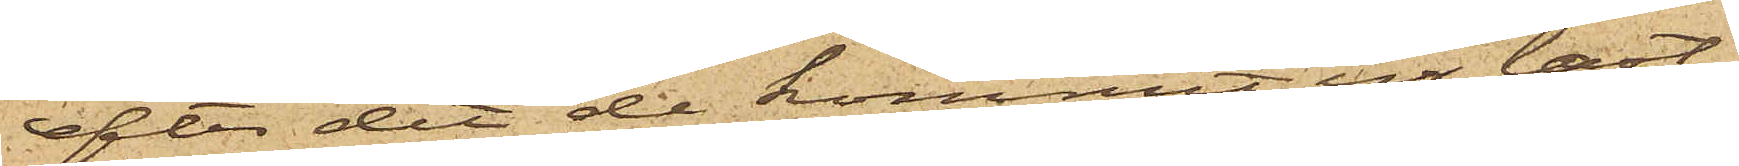Efter det de kommit ur last¬
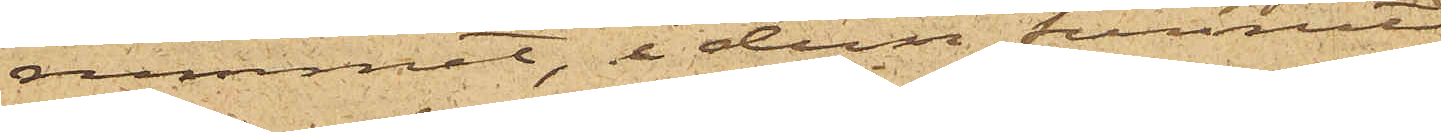rummet, i dem funnit
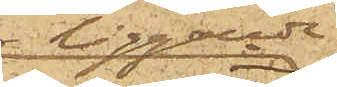liggande
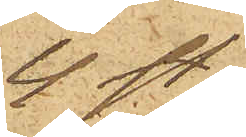4 st.
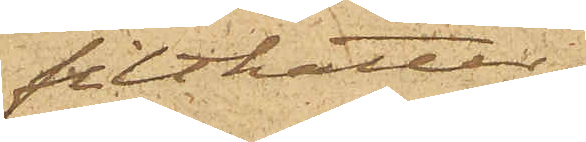filthattar
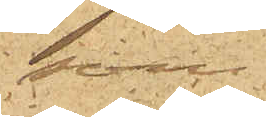; som
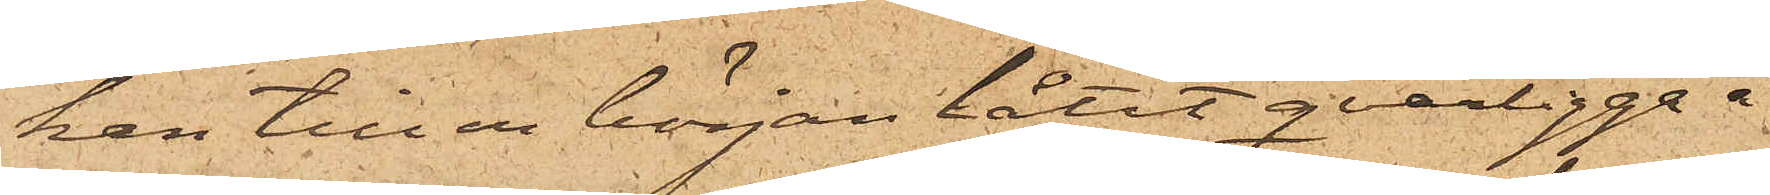han till en början låtit qvarligga å
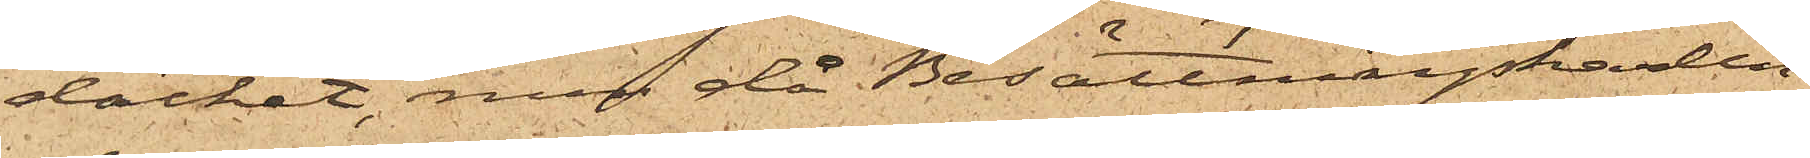däcket, men då Besättningskarlen
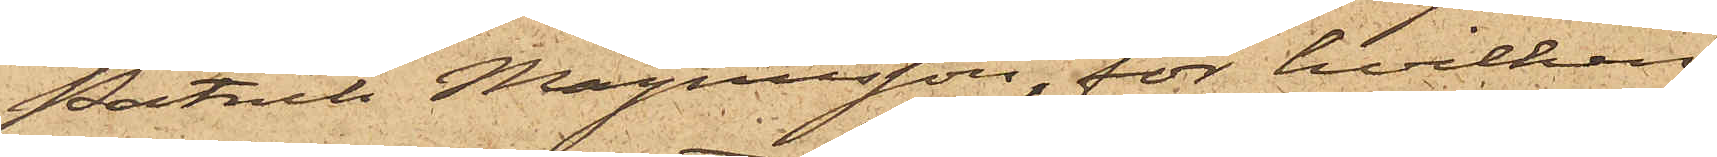Patrik Magnusson, för hvilken
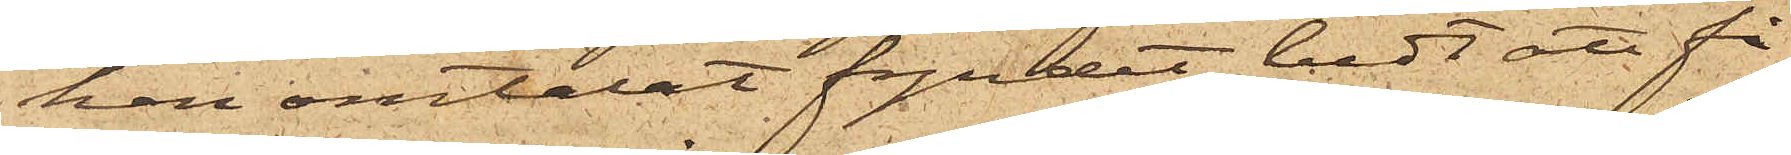han omtalat fyndet, bedt att få
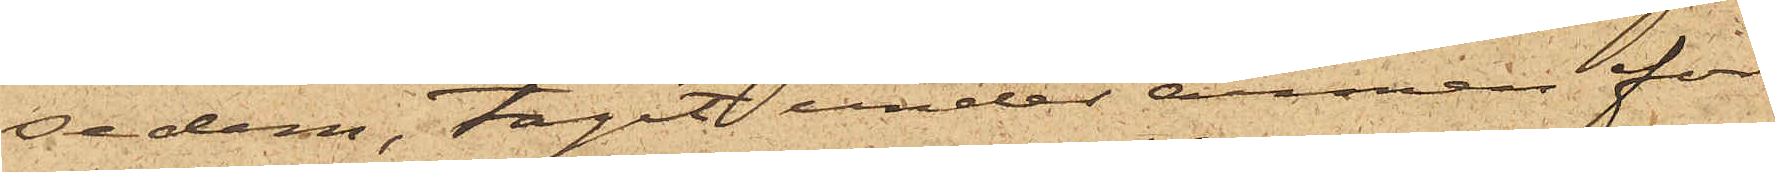se dem, tagit under armen för
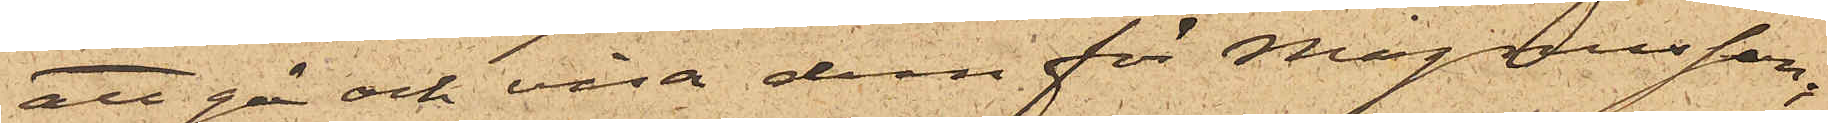att gå och visa dem för Magnusson,
